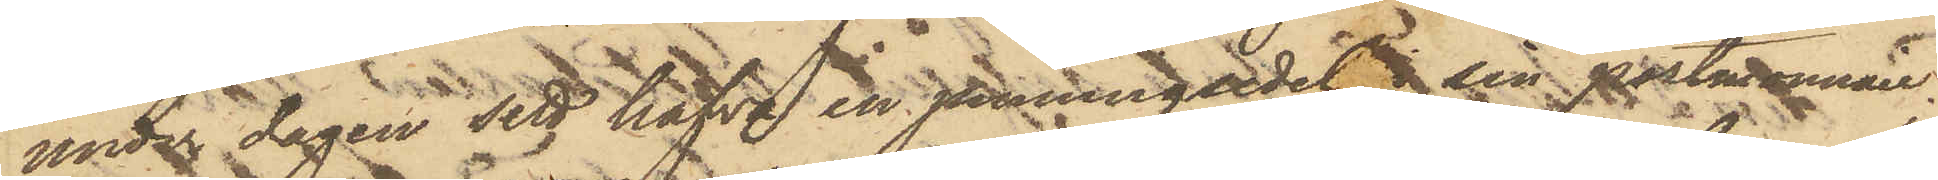under dagen sett hafva en penningsedel i sin portmonnaie;
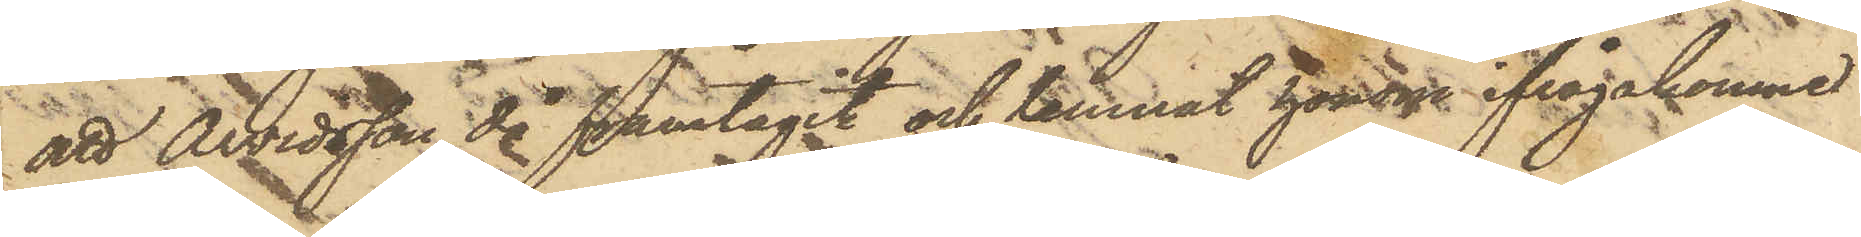att Arvidsson då framtagit och lemnat honom ifrågakomne
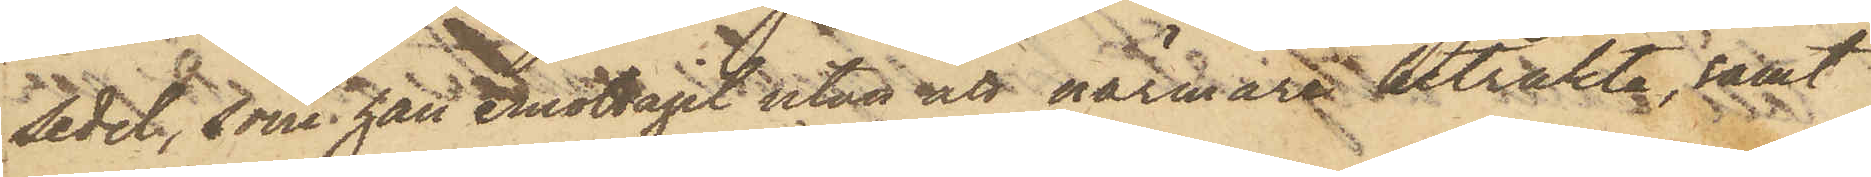sedel, som han emottagit utan att närmare betrakta; samt
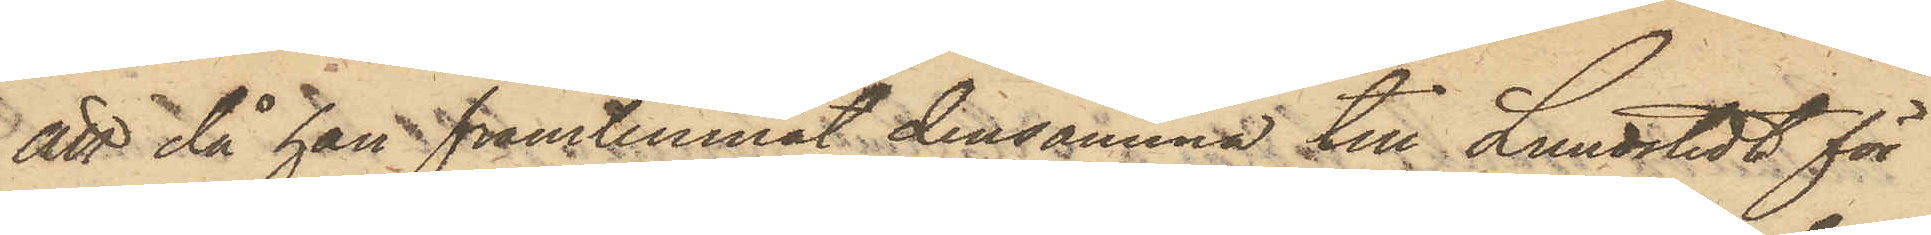att då han framlemnat densamma till Lundstedt för
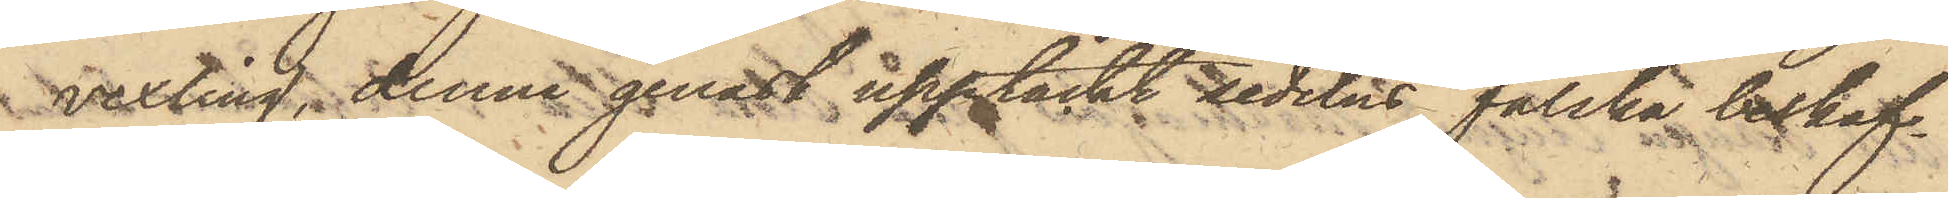vexling, denne genast upptäckt sedelns falska beskaf¬
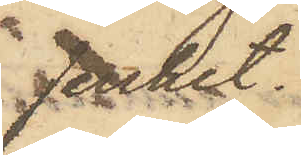fenhet.
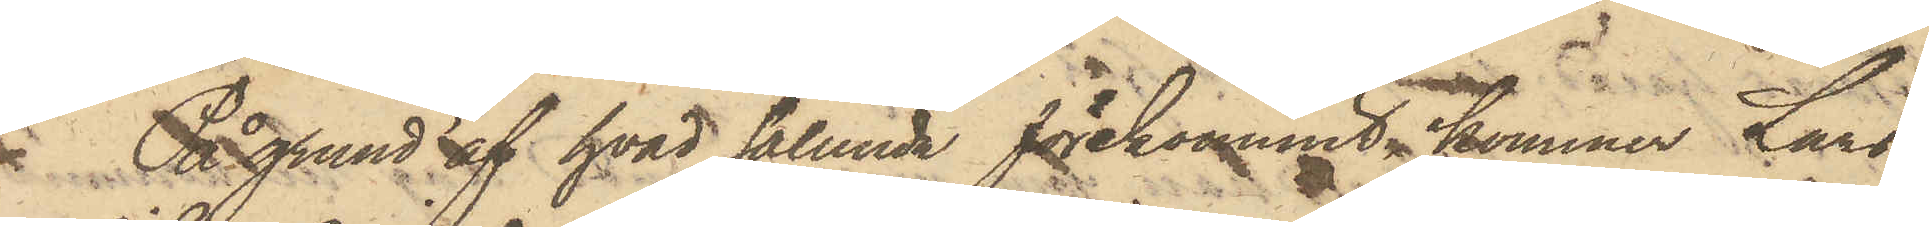På grund af hvad sålunda förekommit, kommer Lars
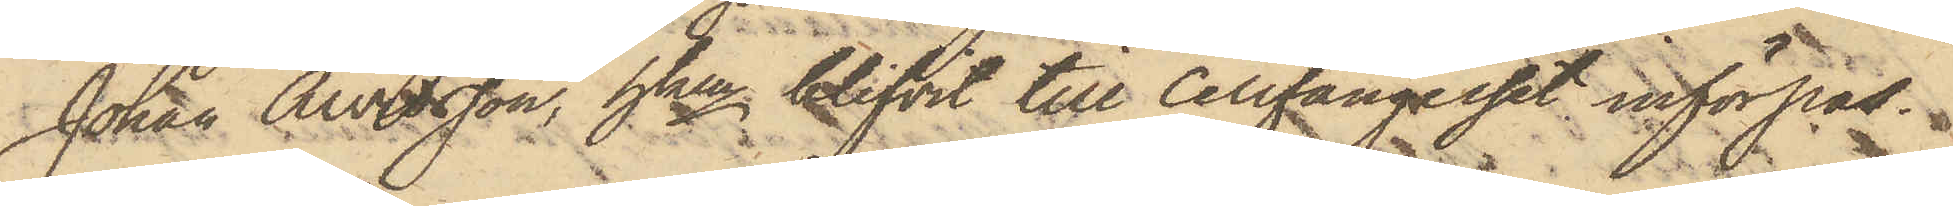Johan Arvidsson, hken blifvit till cellfängelset införpas¬
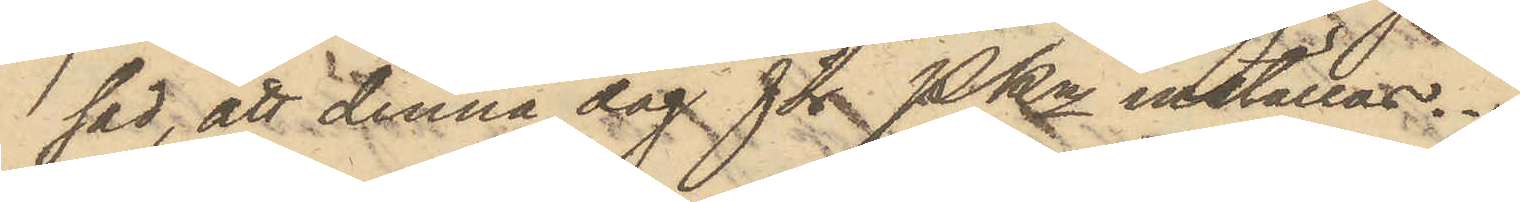sad, att denna dag för PKn inställas.
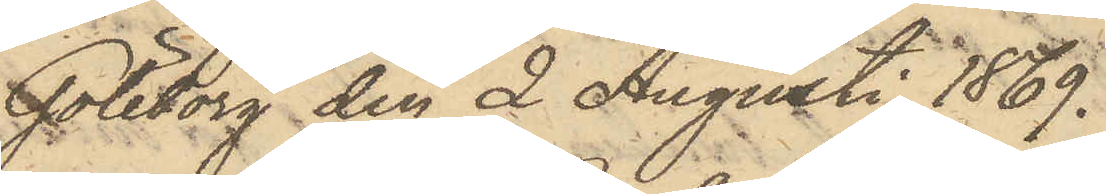Göteborg den 2 Augusti 1869.
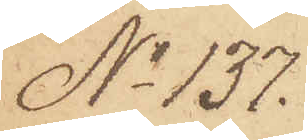No 137.
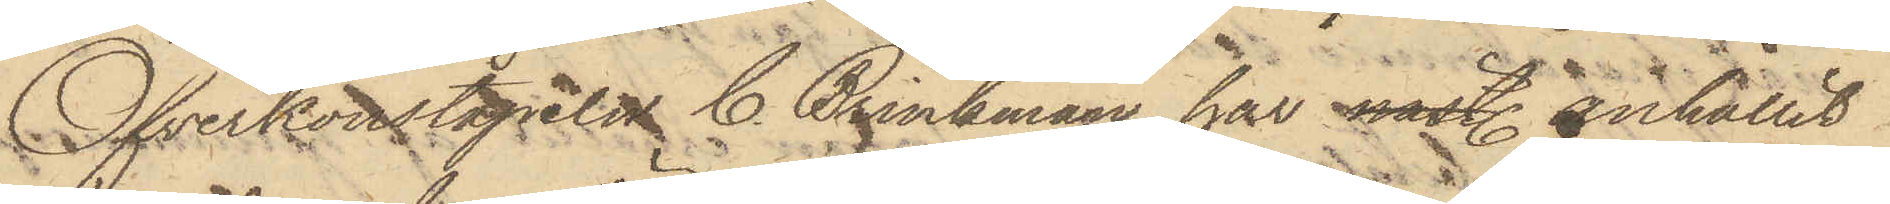Öfverkonstapeln C. Brinkman har näst. anhållit
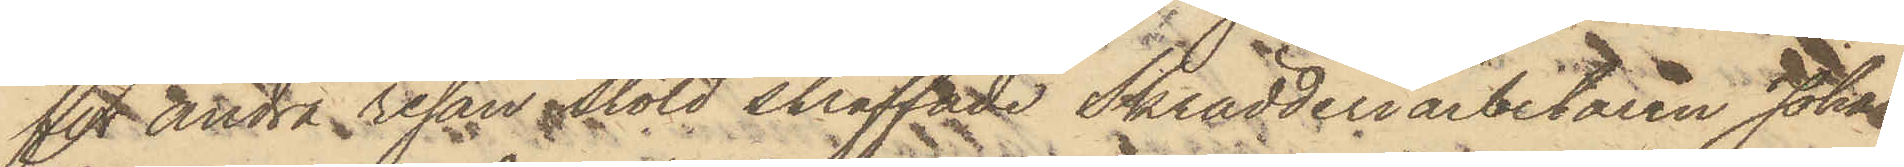för andra resan stöld straffade Skrädderiarbetaren Johan
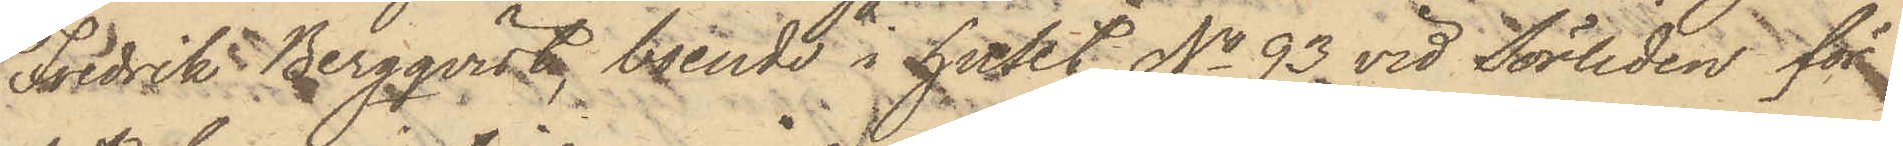Fredrik Bergqvist, boende i huset No 93 vid Sörliden för
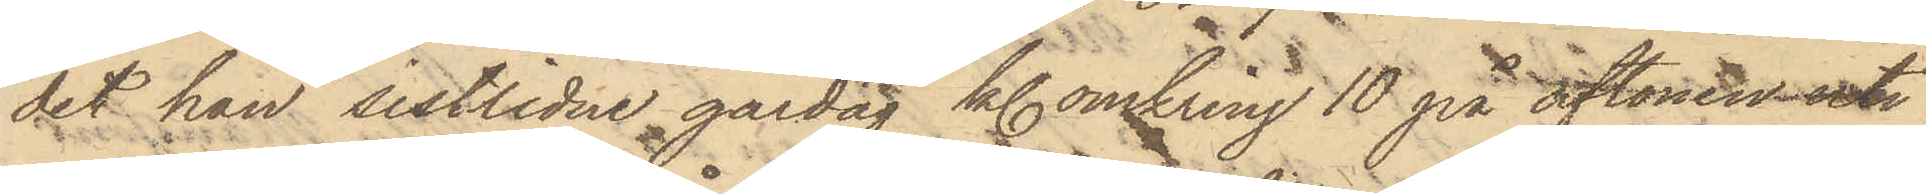det han sistlidne gårdag kl. omkring 10 på aftonen uti
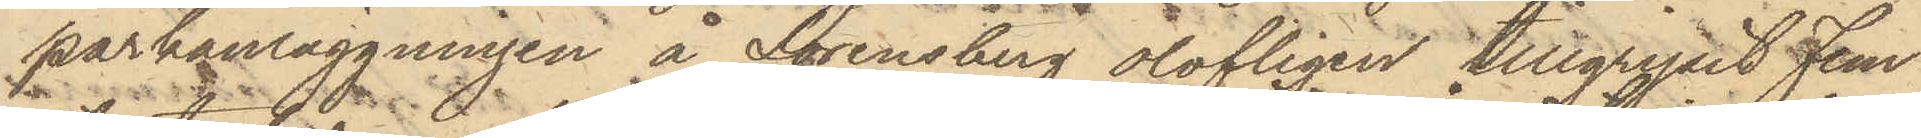parkanläggningen å Lorensberg olofligen tillgripit Fem
